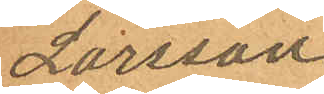Larsson
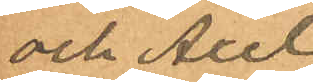och Axel
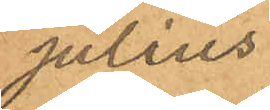Julius
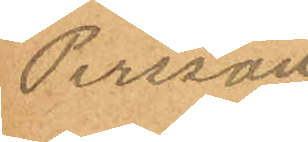Persson
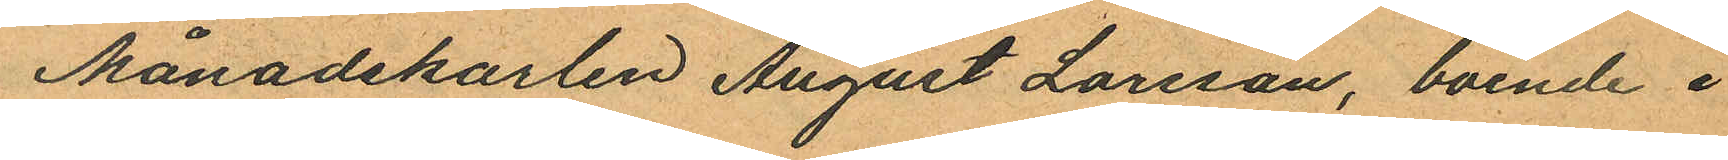Månadskarlen August Larsson, boende i
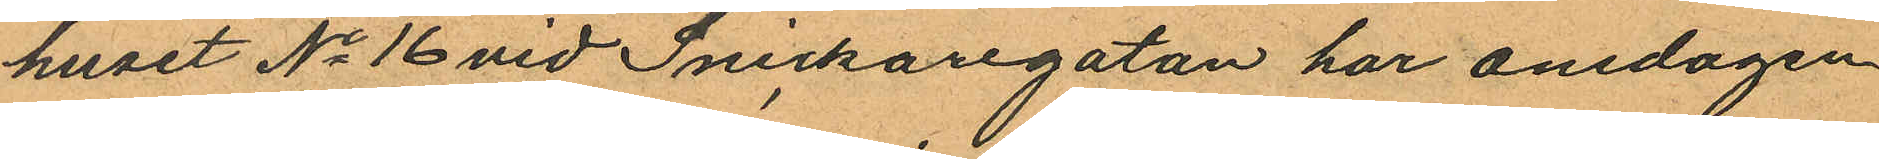huset No 16 vid Snickaregatan har onsdagen
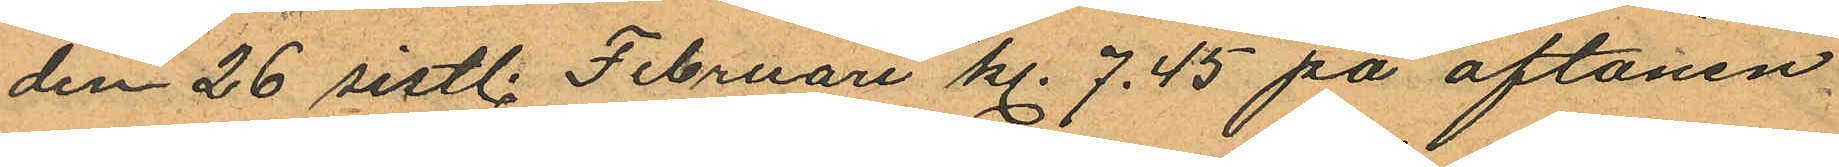den 26 sistl. Februari kl. 7.45 på aftonen
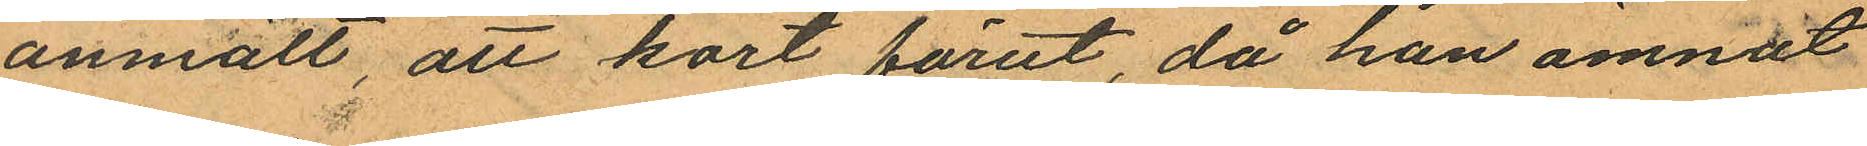anmält, att kort förut, då han ämnat
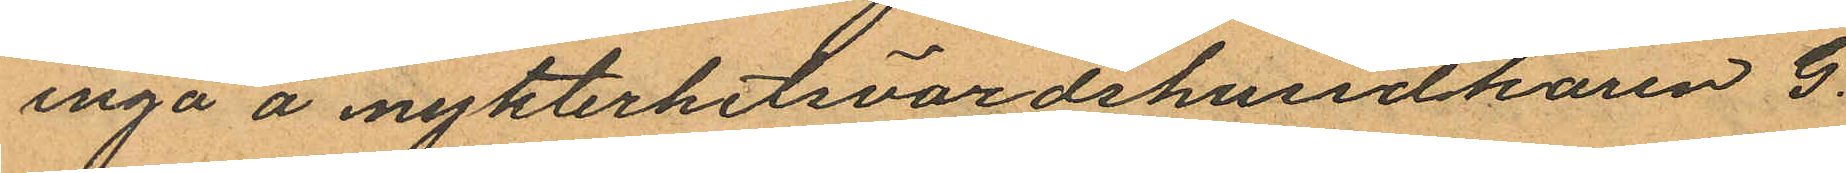ingå å nykterhetsvärdshusidkaren G.
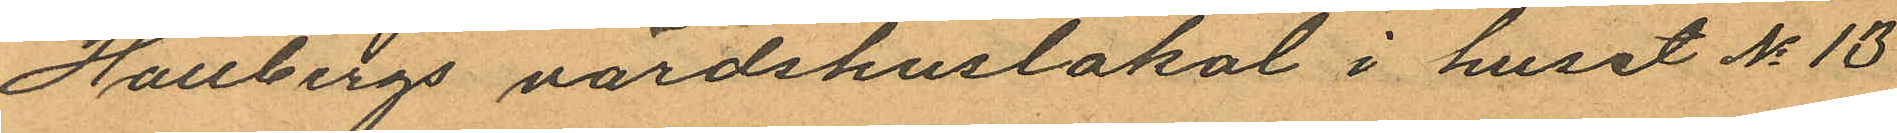Hallbergs värdshuslokal i huset No 13
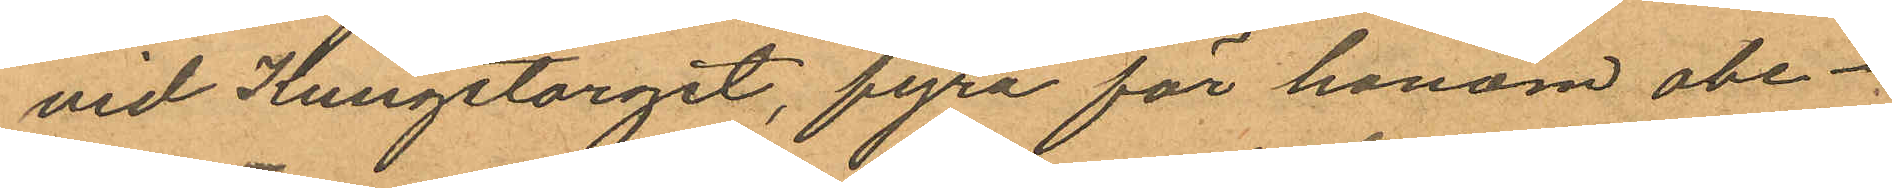vid Kungstorget, fyra för honom obe¬
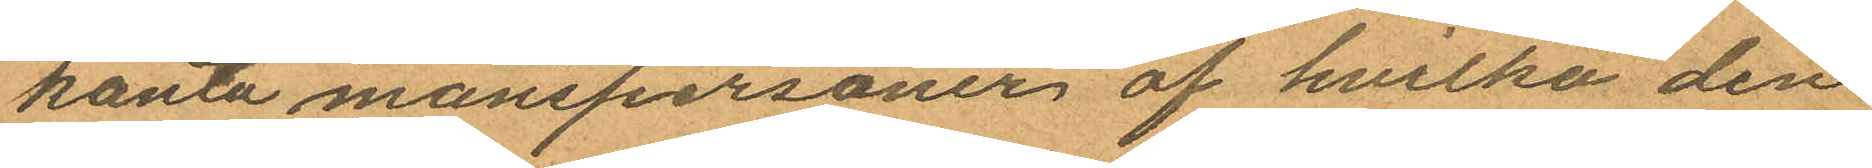kanta manspersoner af hvilka den
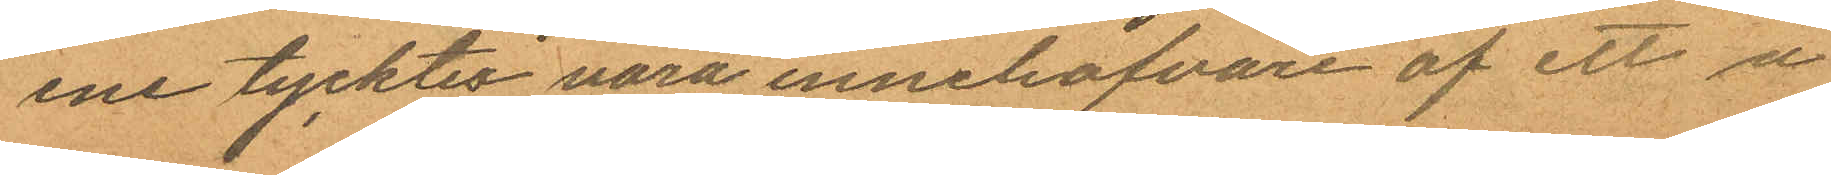ene tycktes vara innehafvare af ett å
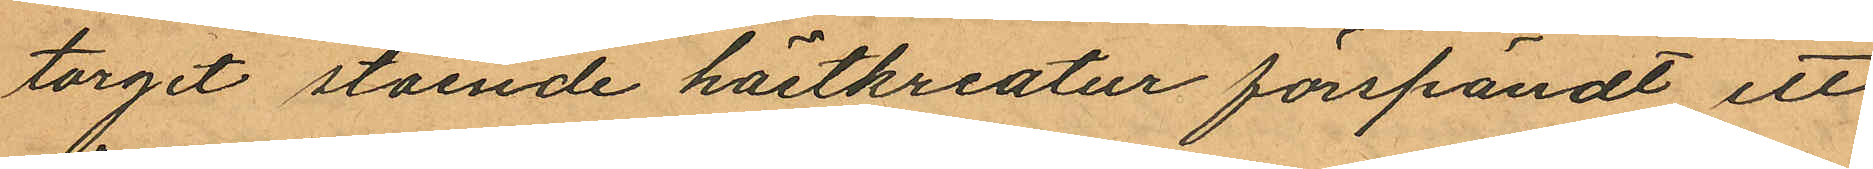torget stående hästkreatur förspändt ett
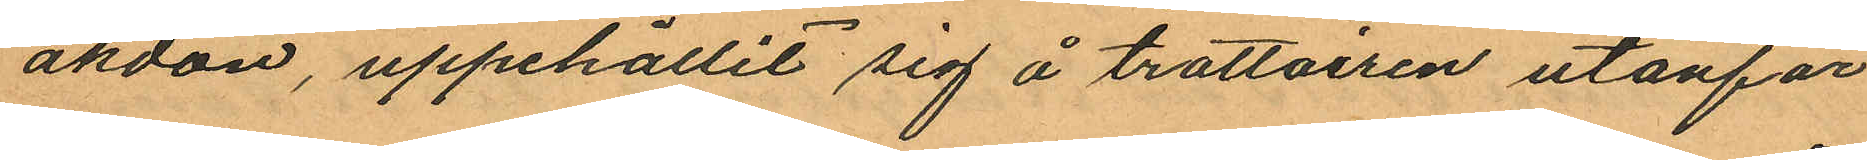åkdon, uppehållit sig å trottoiren utanför
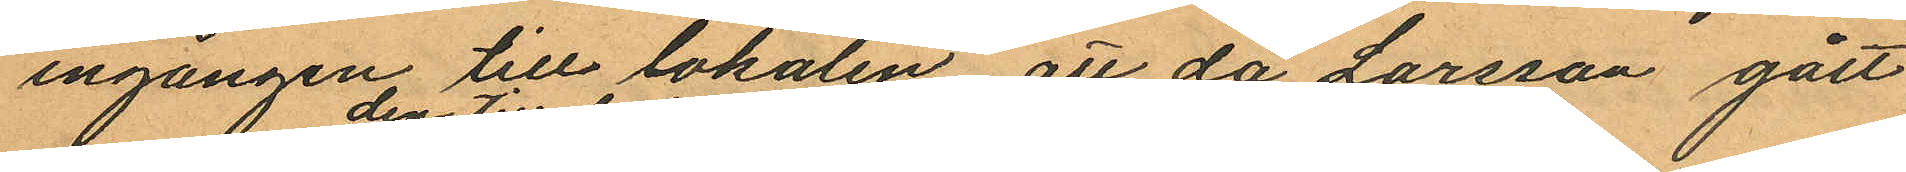ingången till lokalen, att då Larsson gått
